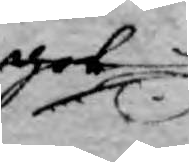got
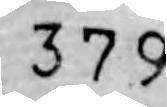379
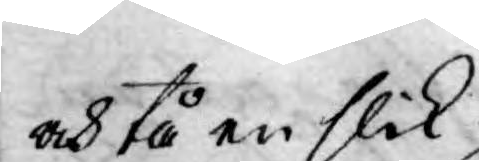och tå en slik  
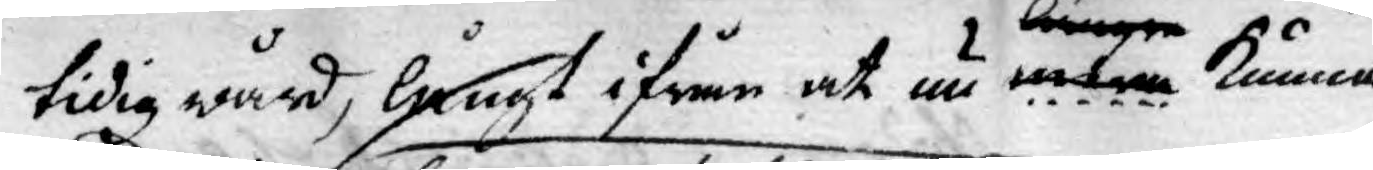tidig wård, långt ifrån at nu längre mera kunna
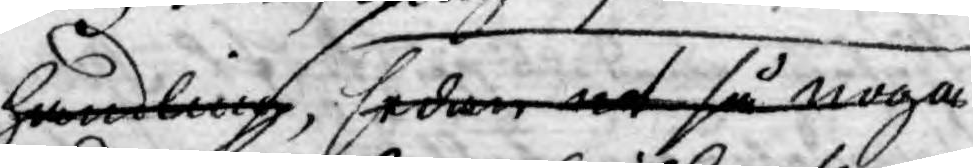handling, sedan at så noga
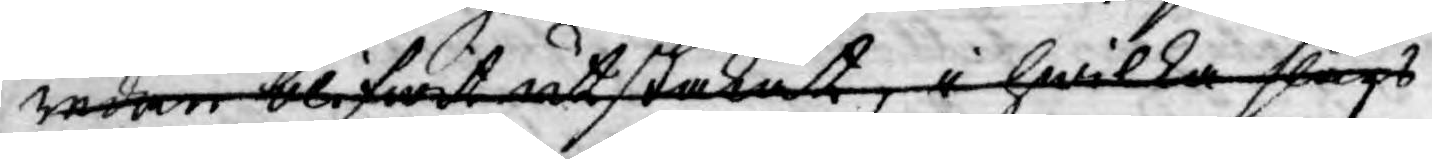redan blifwit utstakat, i hwilka slags
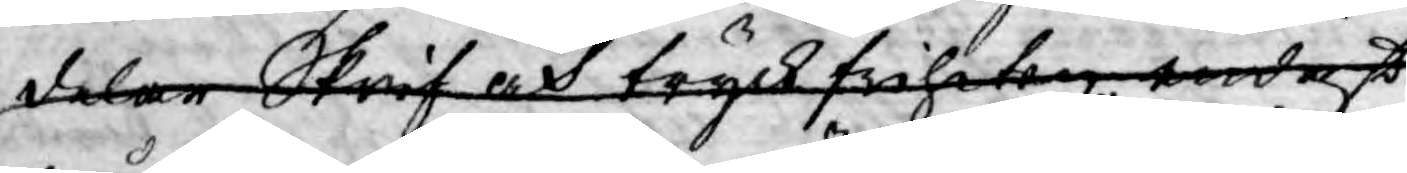delar Skrif och tryckfriheten endast
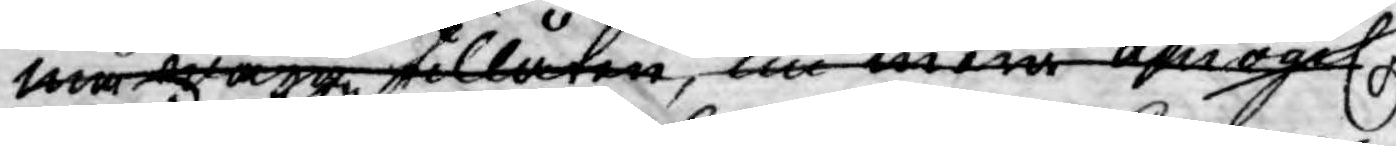må wara tillåten, nu men amogel.
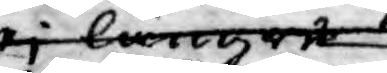ej längre
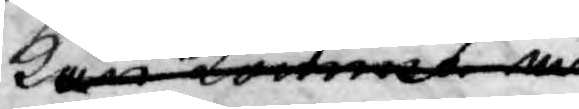kan komma at
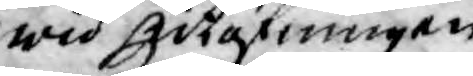wid utgivningen
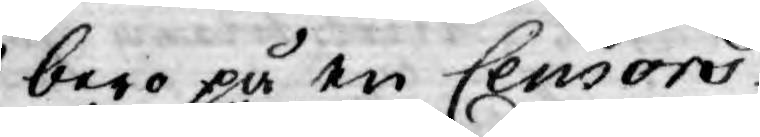bero på en Censors
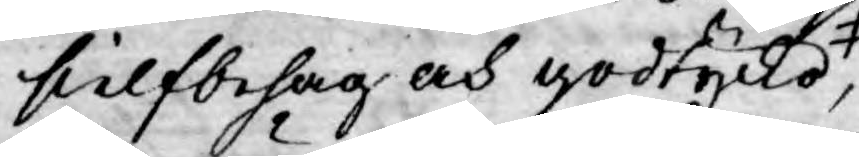sielfbehag och godtycke,
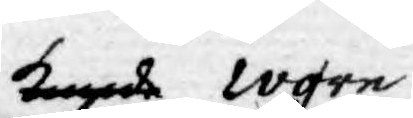kunde wore
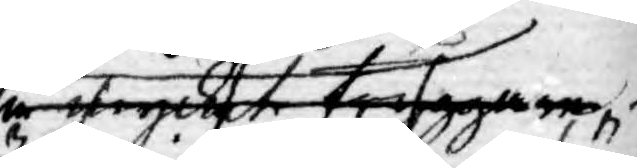så mycket tryggare 
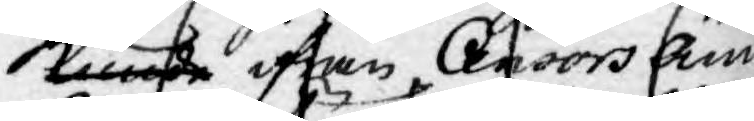kunde ifrån Censors Äm¬
